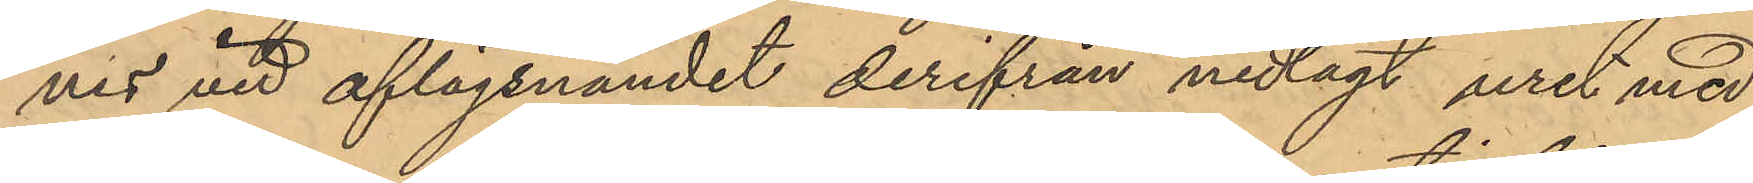nes vid aflägsnandet derifrån nedlagt uret med
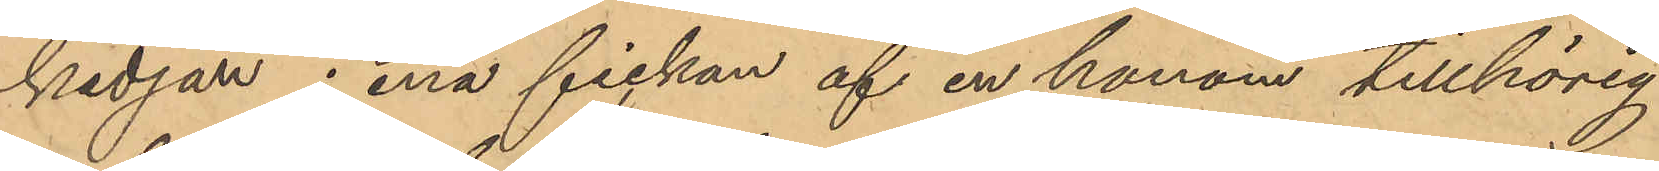kedjan i ena fickan af en honom tillhörig
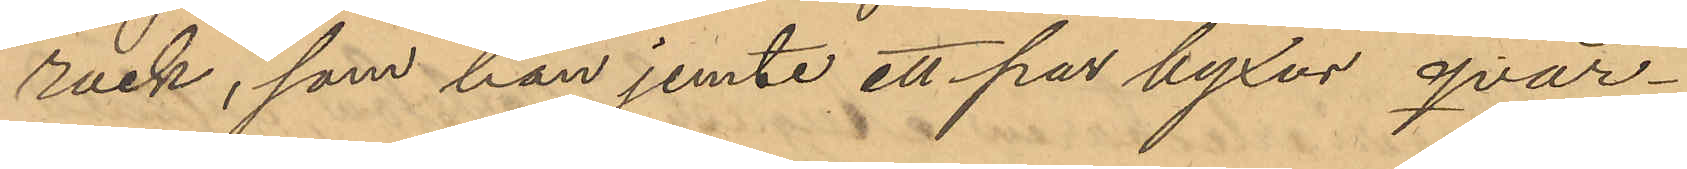rock, som han jemte ett par byxor qvar¬
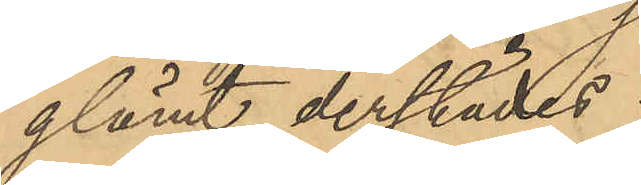glömt derstädes.
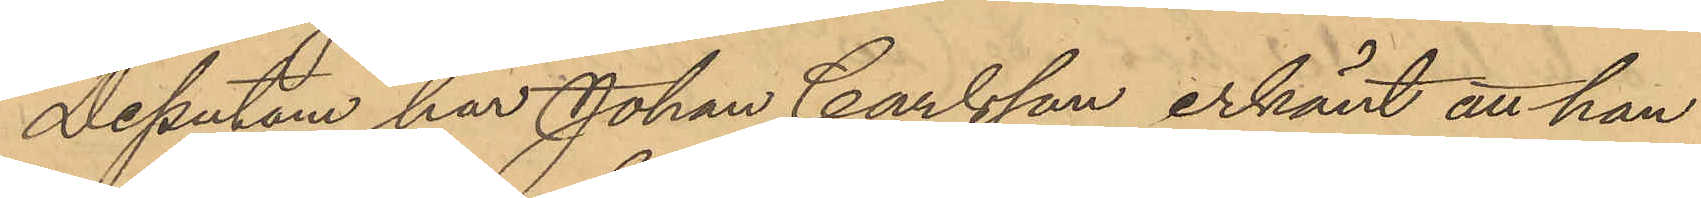Dessutom har Johan Carlsson erkänt att han
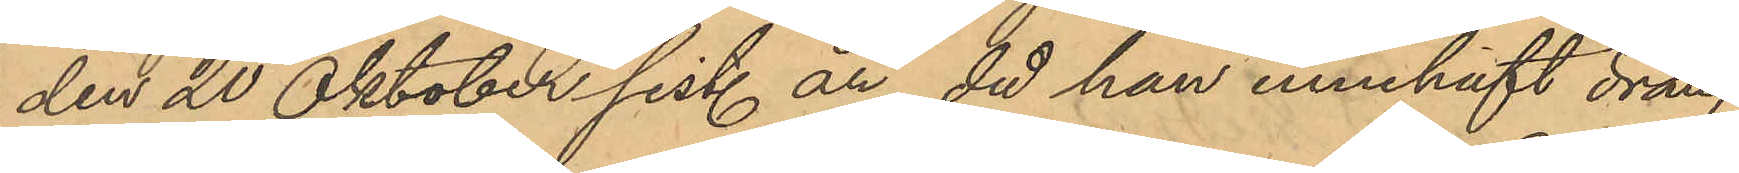den 20 Oktober sist. år, då han innehaft dräng
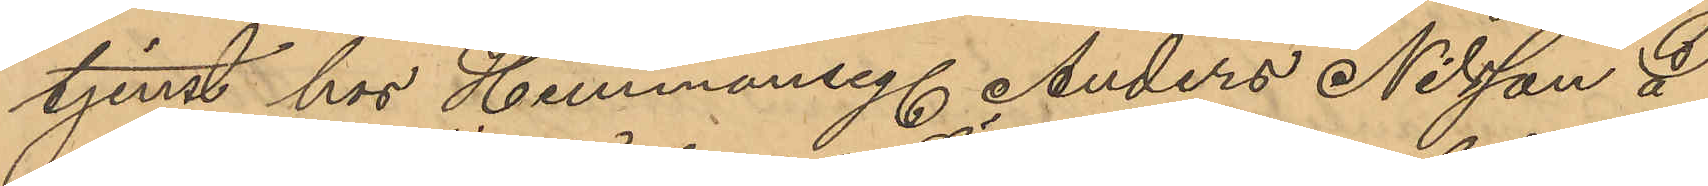tjenst hos Hemmanseg. Anders Nilsson å
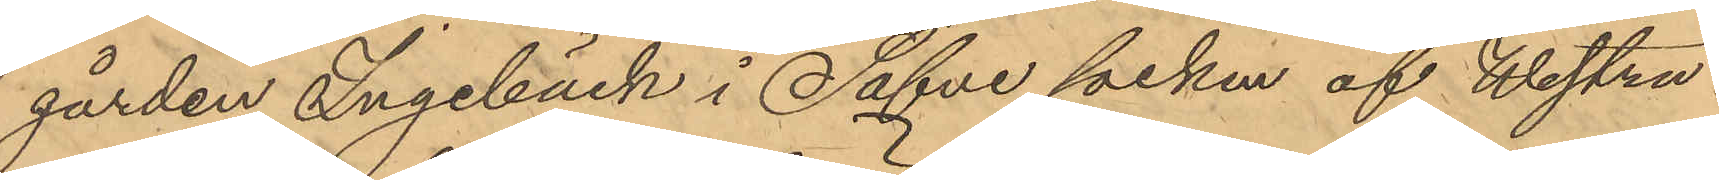gården Ingebäck i Säfve socken af Westra
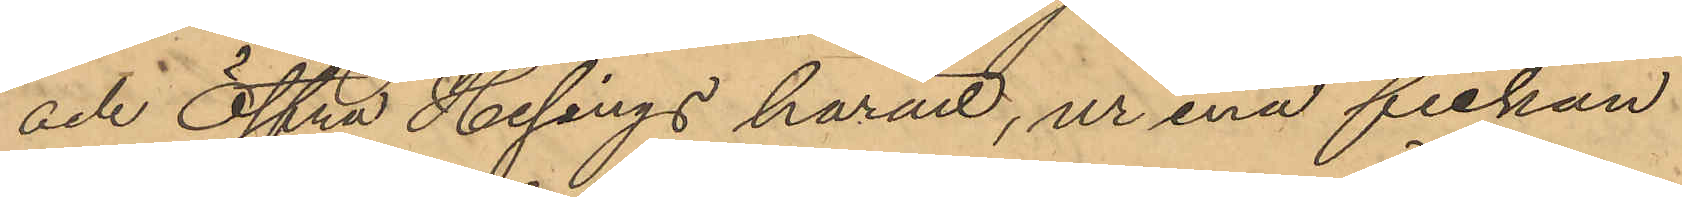och Östra Hisings härad, ur ena fickan
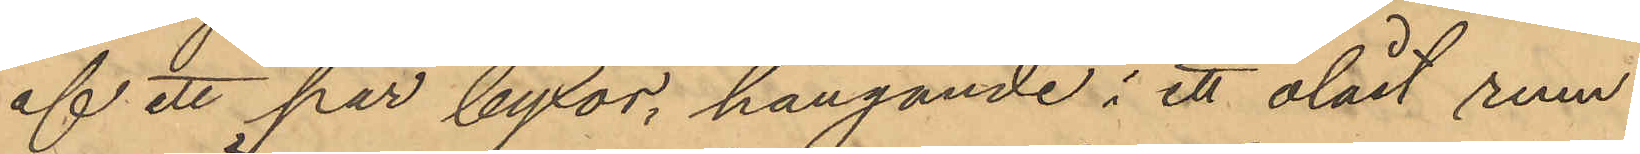af ett par byxor, hängande i ett olåst rum
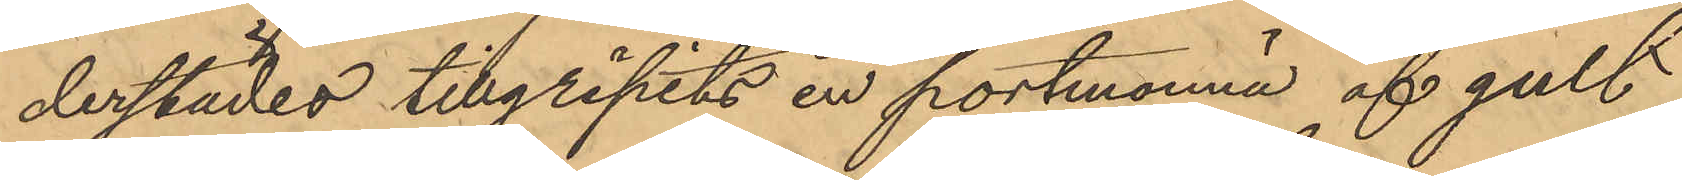derstädes tillgripits en portmonnä af gult
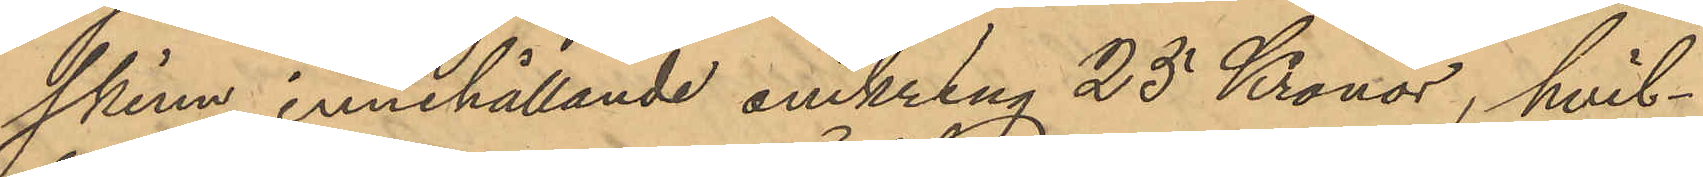skinn innehållande omkring 25 Kronor, hvil¬
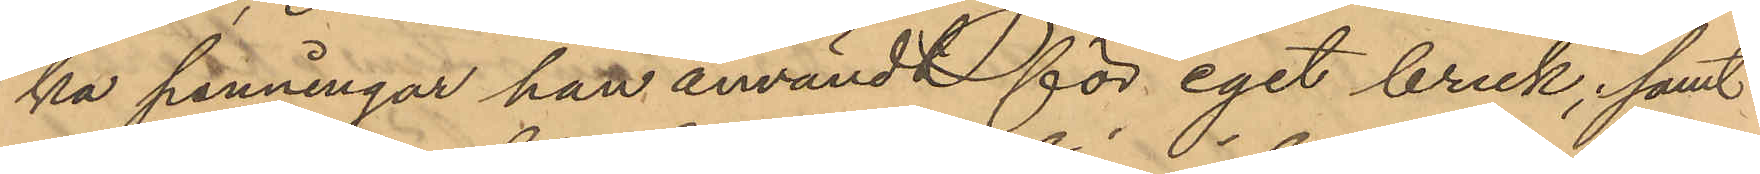ka penningar han användt för eget bruk, samt
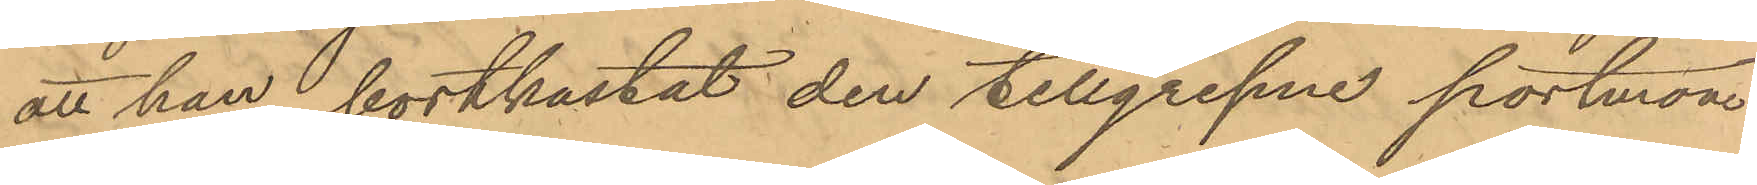att han bortkastat den tillgripne portmon¬
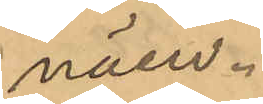näen.
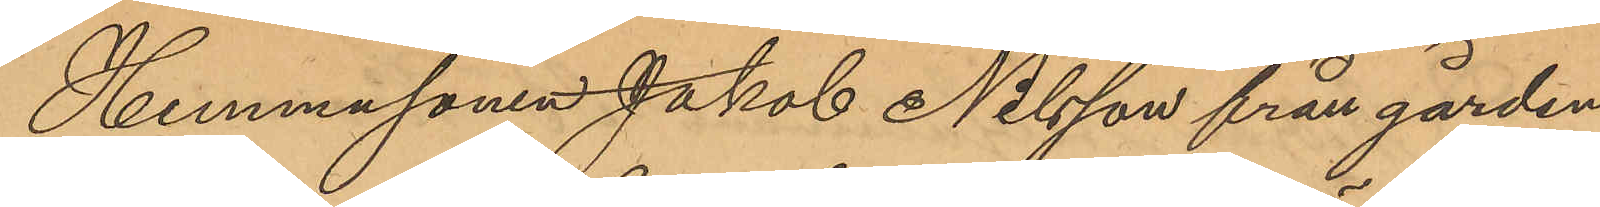Hemmasonen Jakob Nilsson från gården
